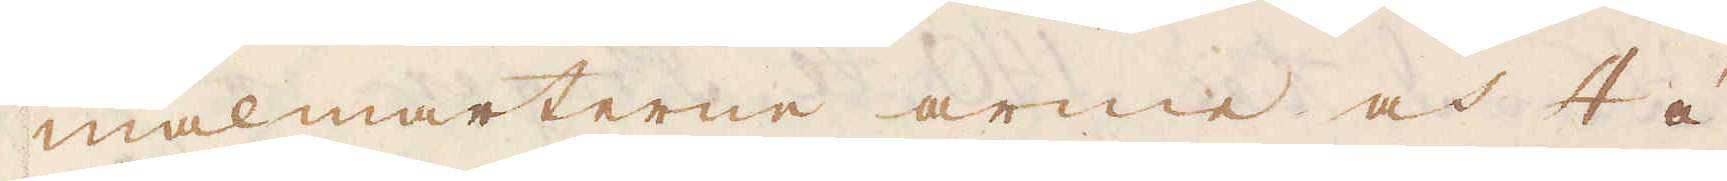malmarterne arme och 4 á
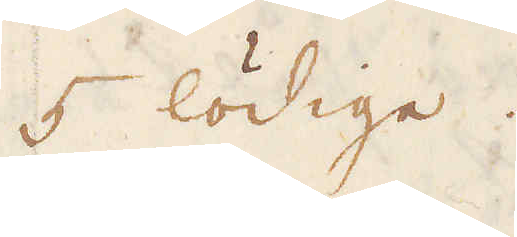5 lödige.
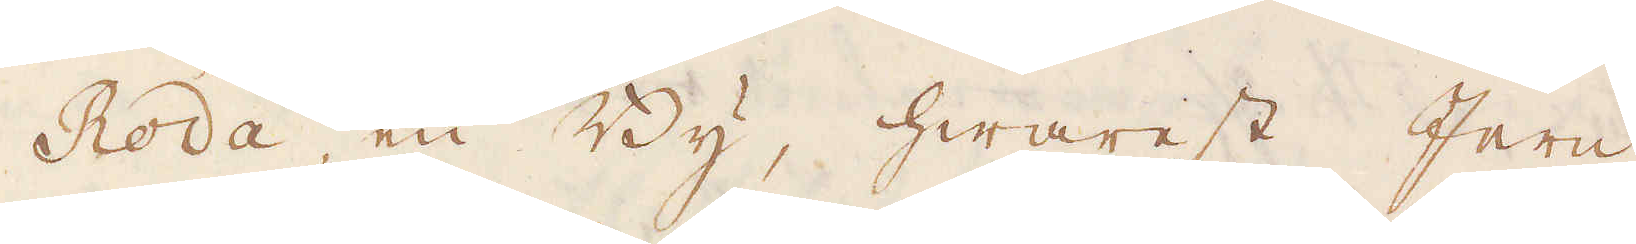Roda, en By, hwarest Jern
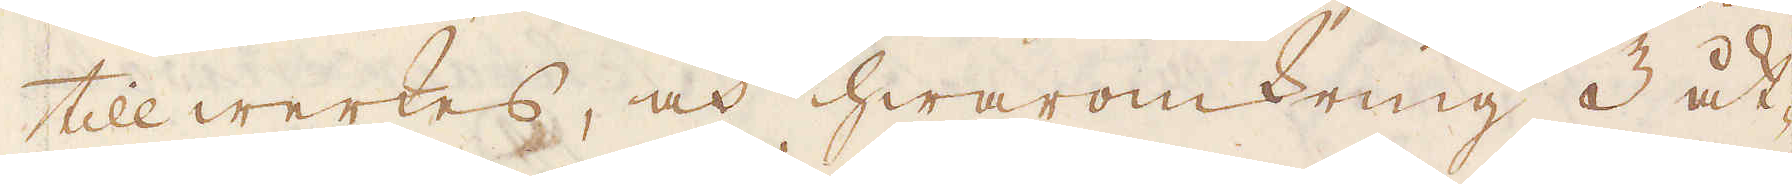tillwerkas, och hwaromkring 3 åt-
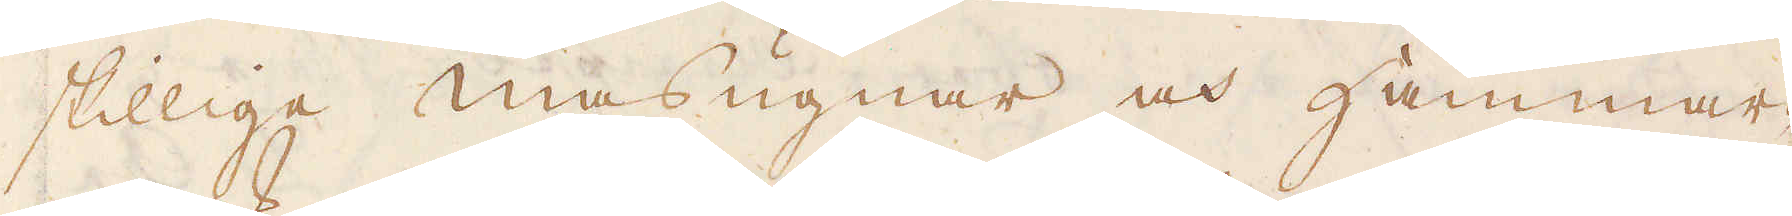skillige masugnar och hammar-
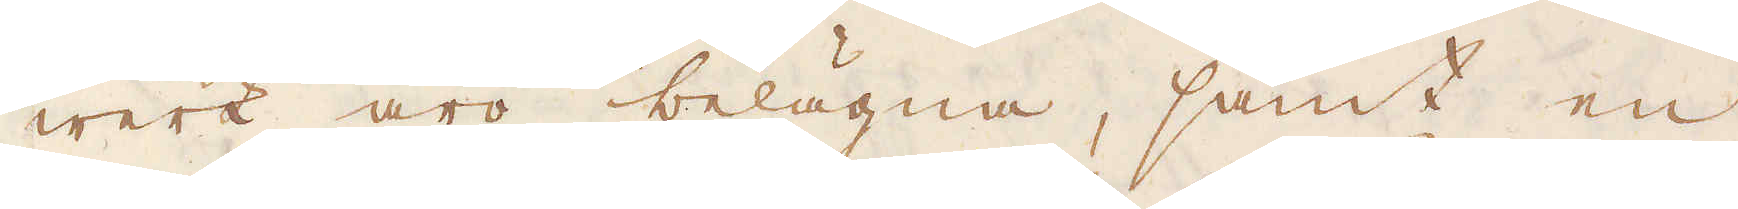werk äro belägna, samt en
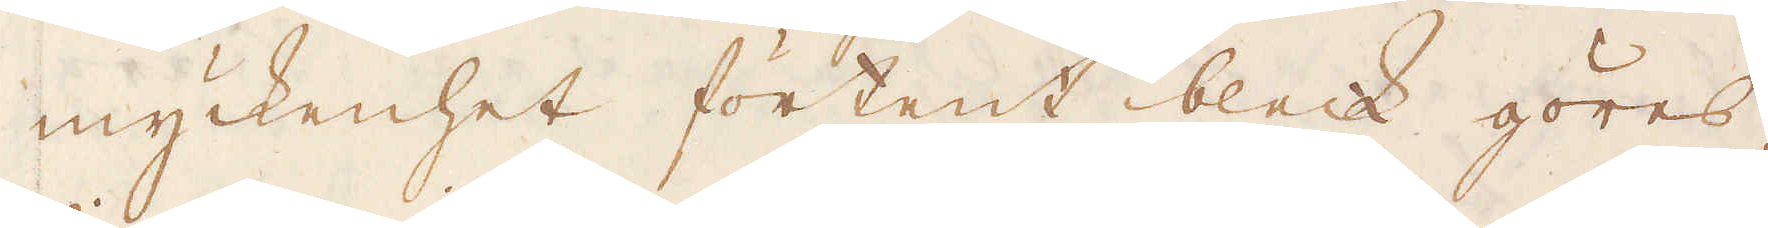myckenhet förtent bleck göres;
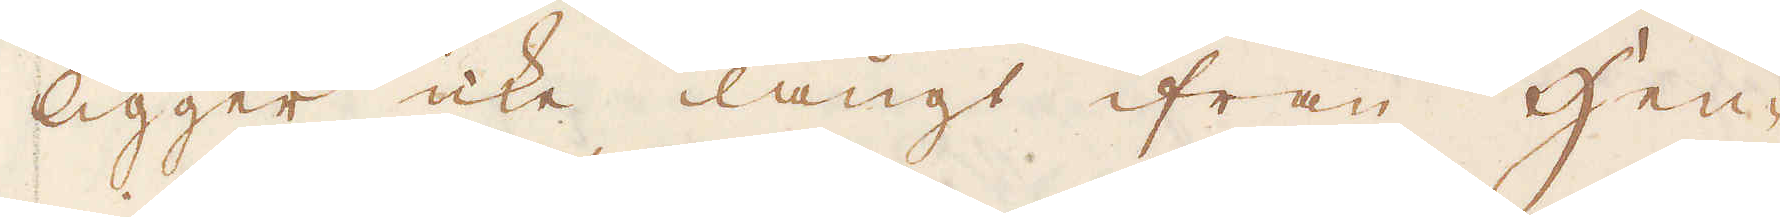ligger icke långt ifrån Hen-
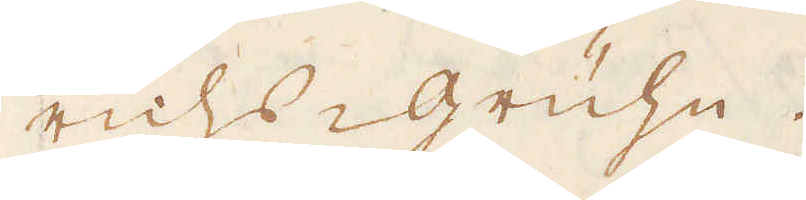richs-Grühn.
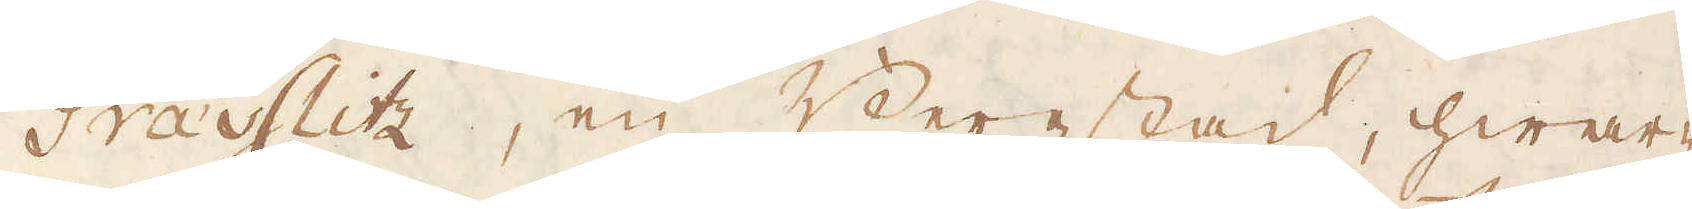Grässlitz, en Bergstad, hwar-
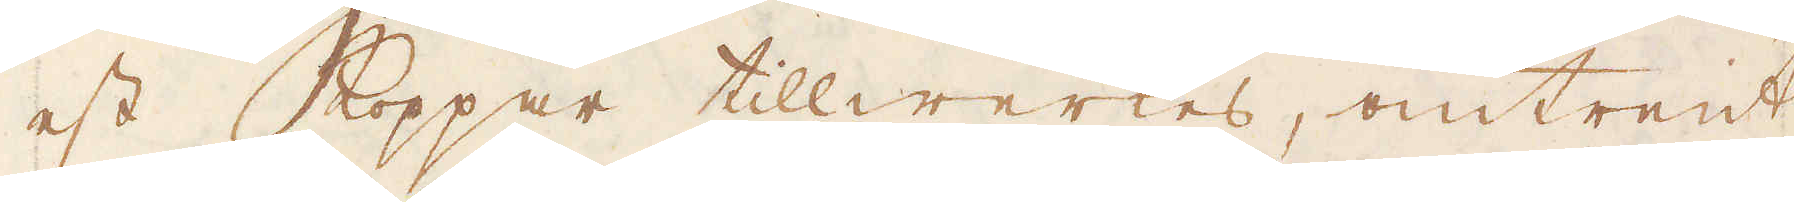est Koppar tillwerkes, omtrent
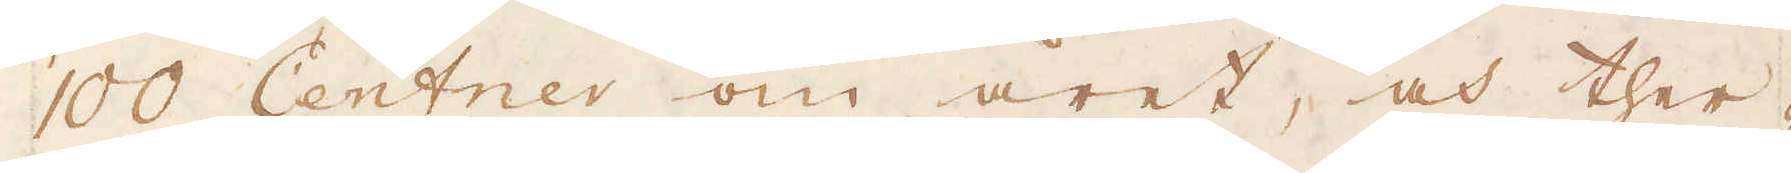100 Centner om året, och ther-
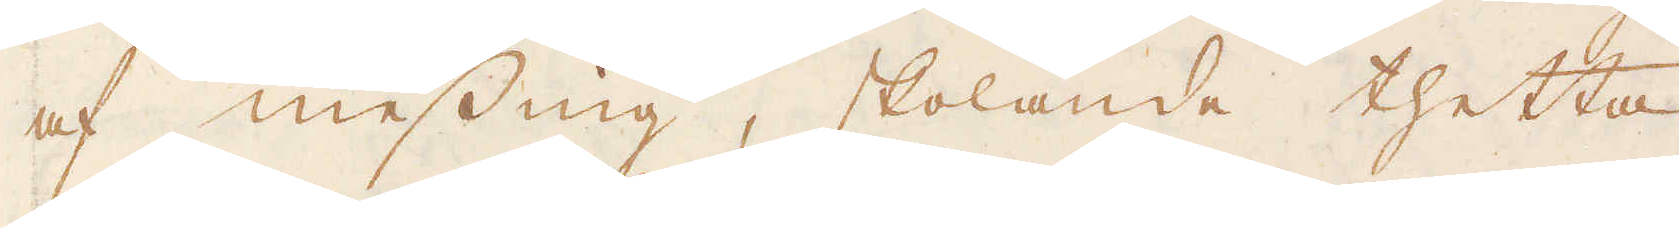af messing, skolande thetta
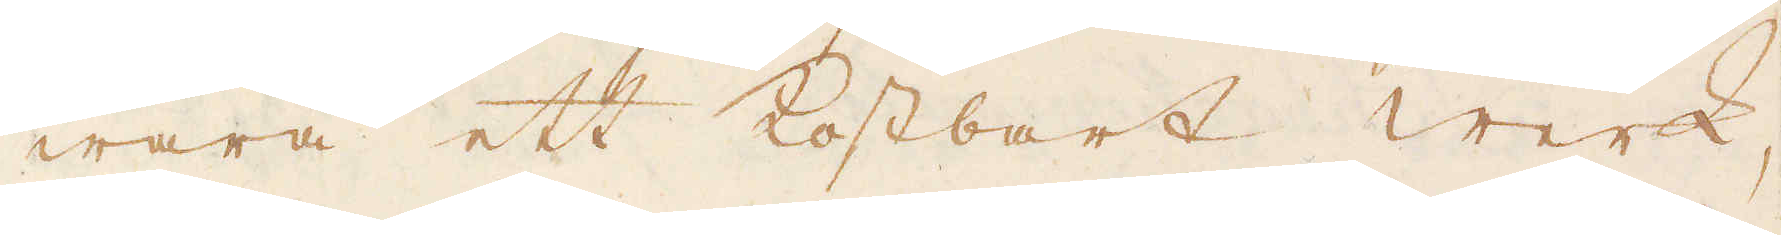wara ett kostbart werk,
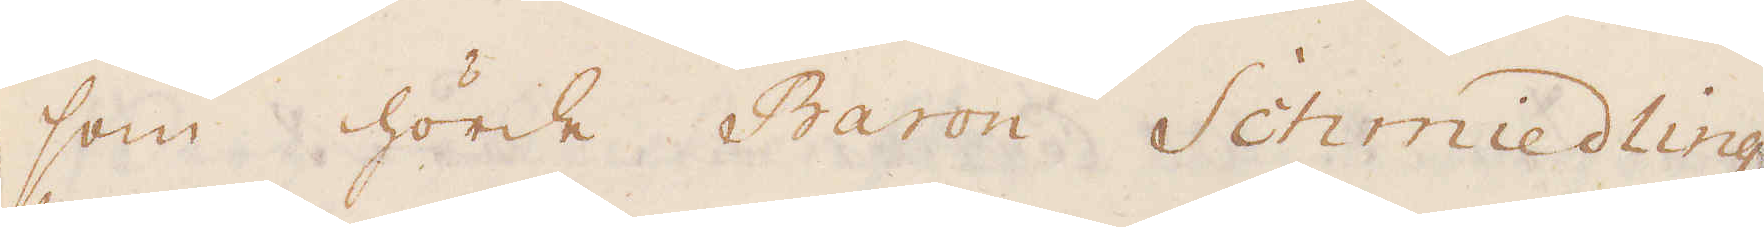som hörde Baron Schmiedling
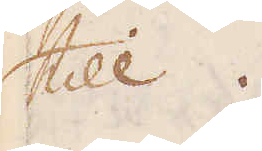till.
